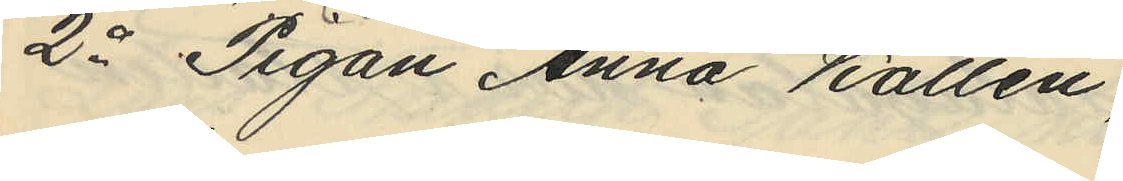2o Pigan Anna Kallén,
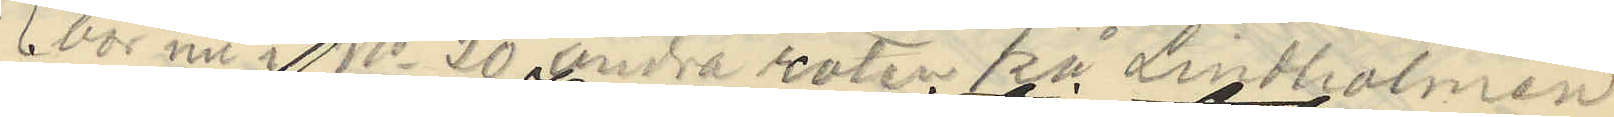(bor nu i No 20 andra roten på Lindholmen)
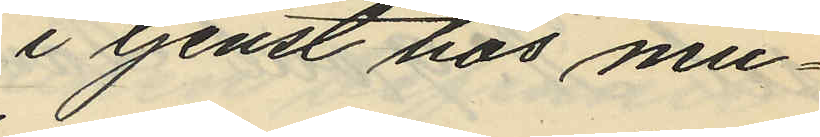i tjenst hos mu¬
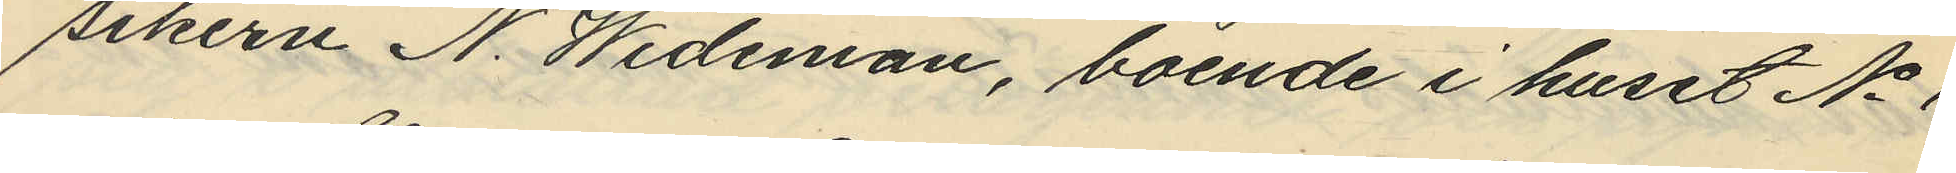sikern N. Wideman, boende i huset No 1
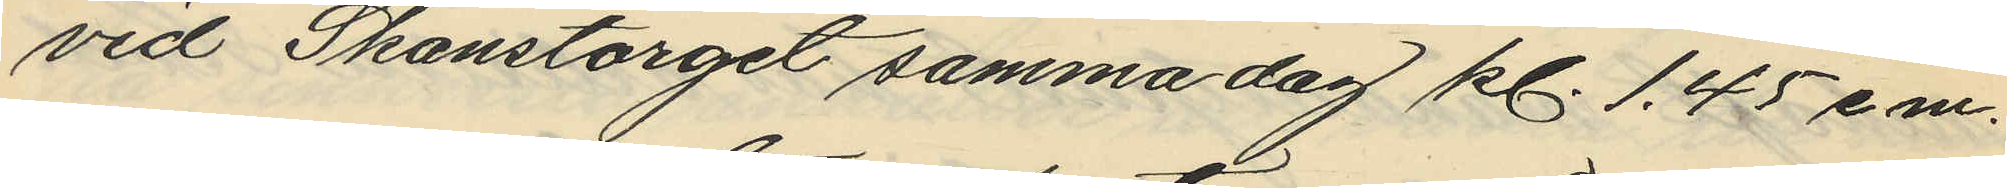vid Skanstorget samma dag kl. 1.45 em.
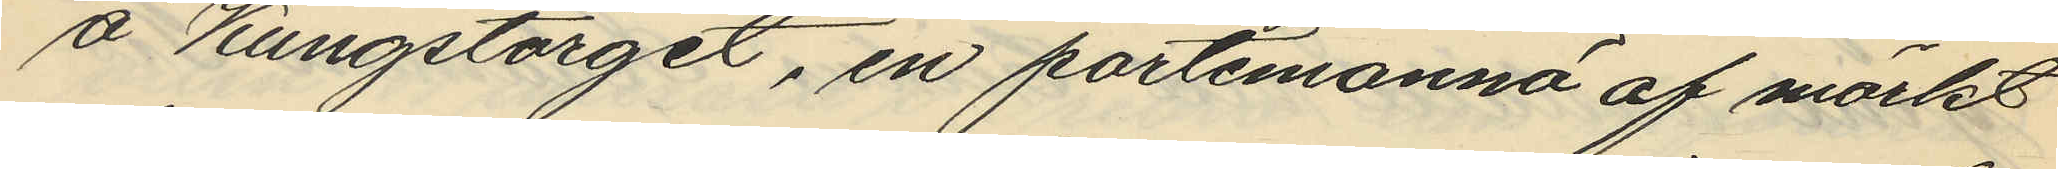å Kungstorget, en portemonnä af mörkt
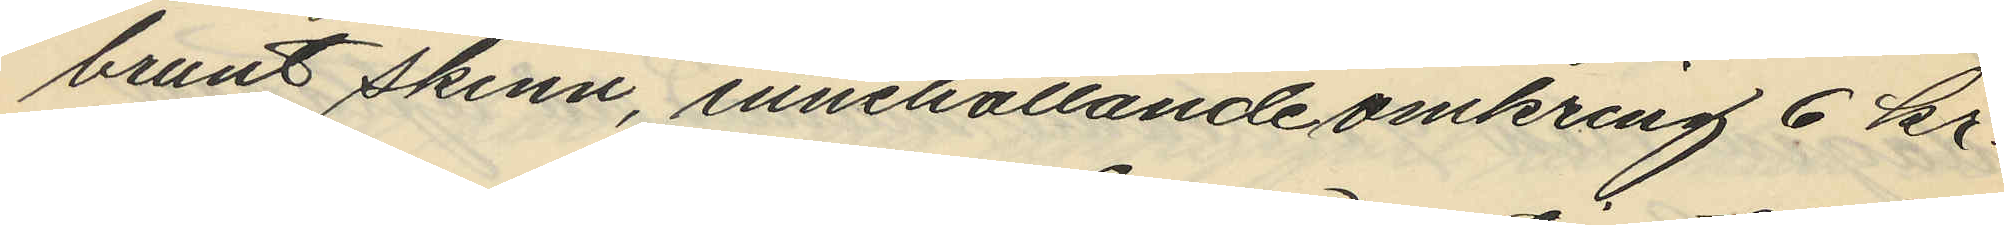brunt skinn, innehållande omkring 6 kr.
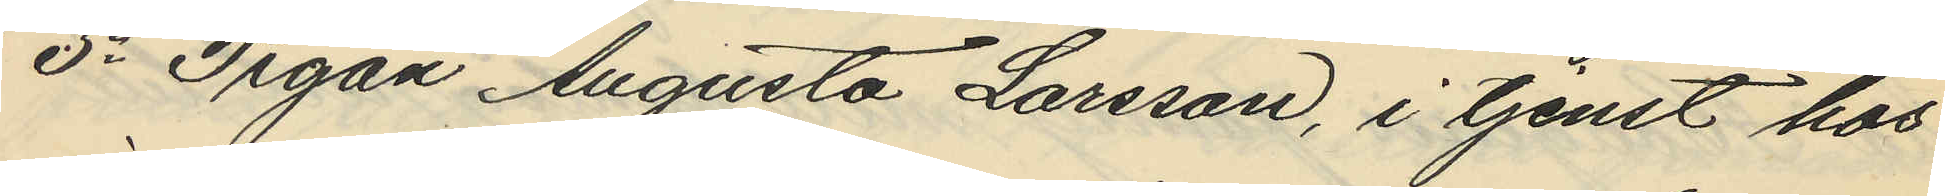3o Pigan Augusta Larsson, i tjenst hos
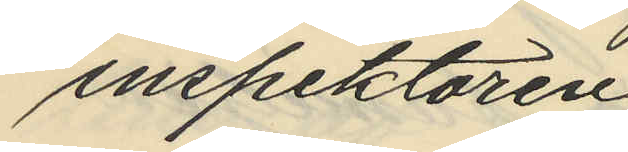inspektören
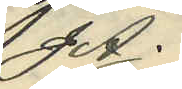J A.
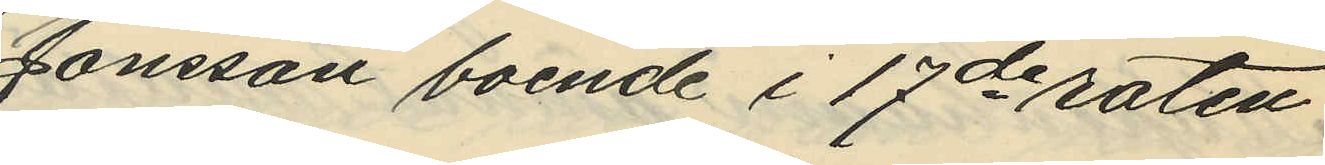Jonsson boende i 17de roten
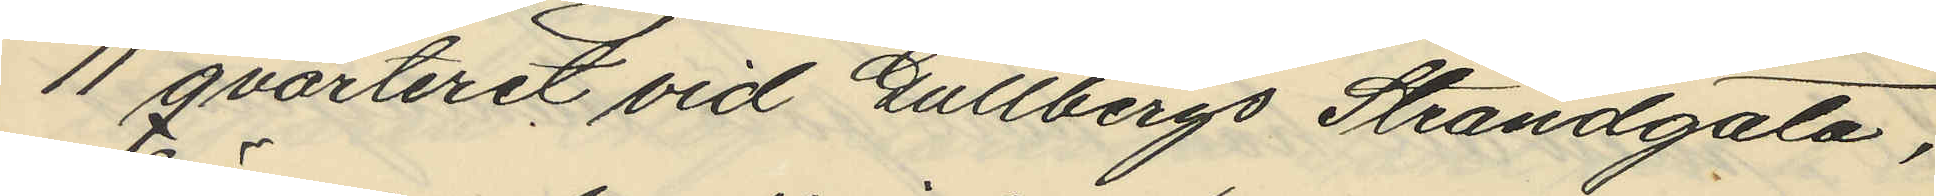11 qvarteret vid Gullbergs Strandgata,
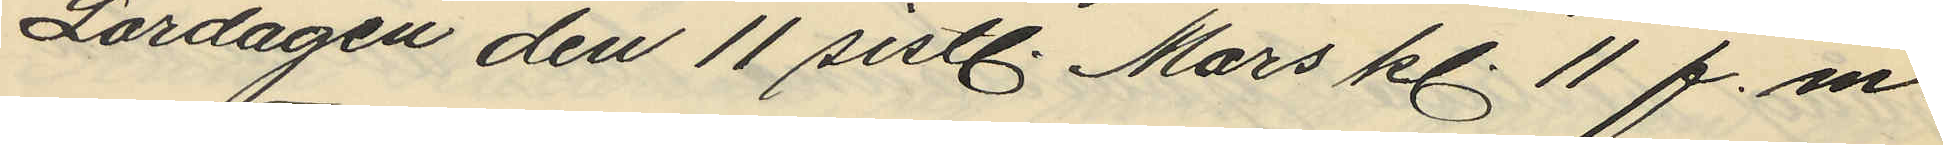Lördagen den 11 sistl. Mars kl. 11 f.m.
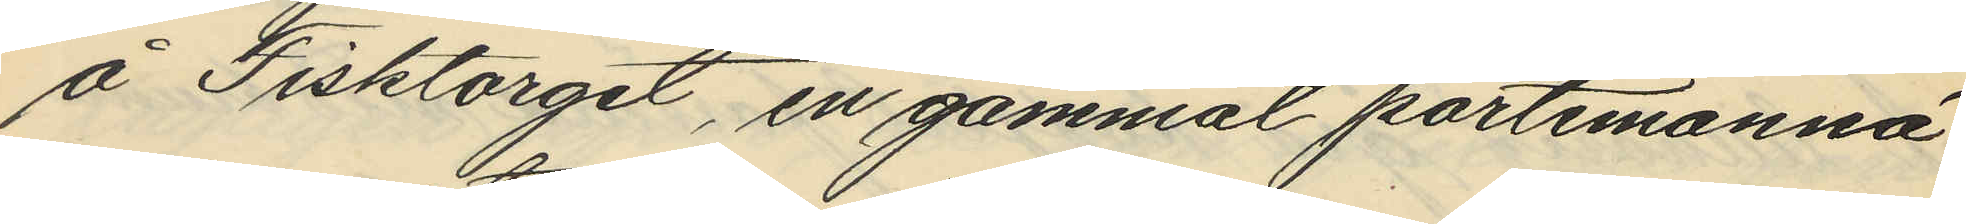å Fisktorget, en gammal portemonnä
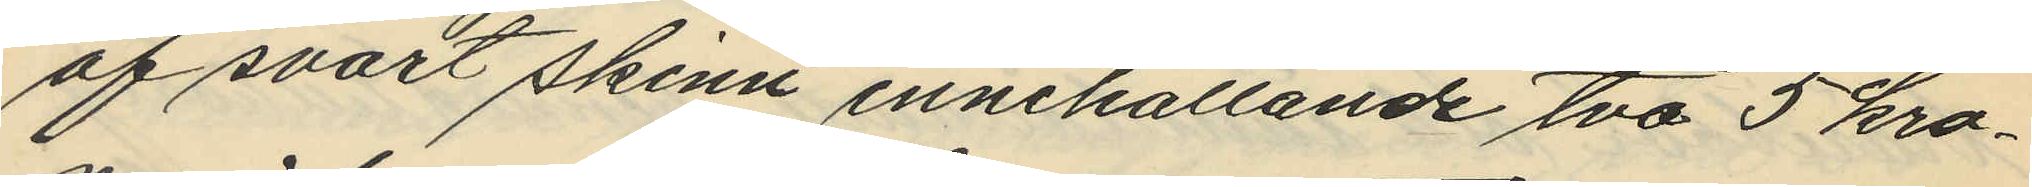af svart skinn innehållande två 5 kro¬
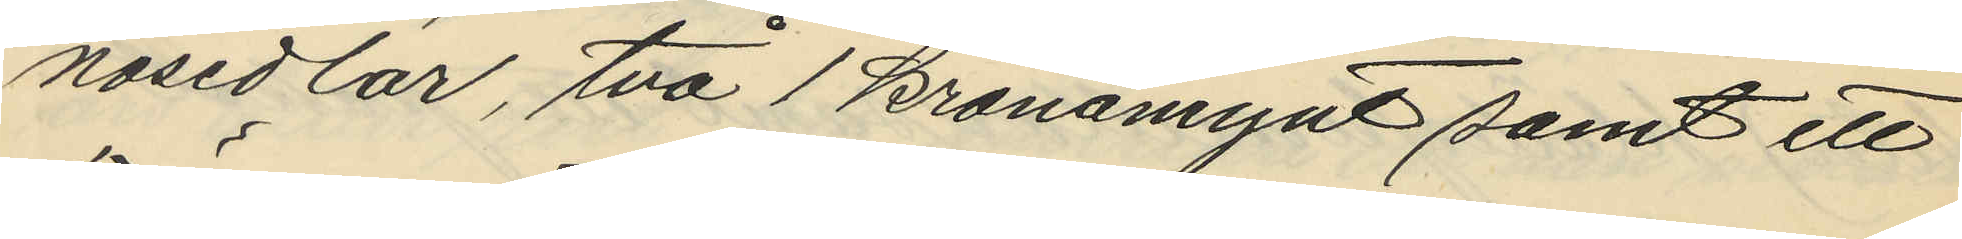nosedlar, två 1 kronamynt samt ett
